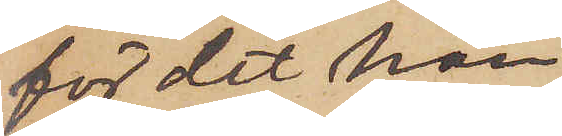för det han
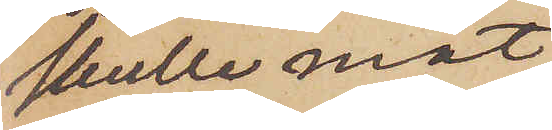skulle mot
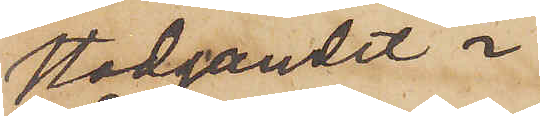stadgandet i
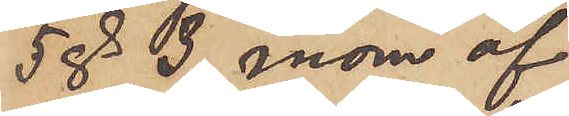5 § 3 mom af
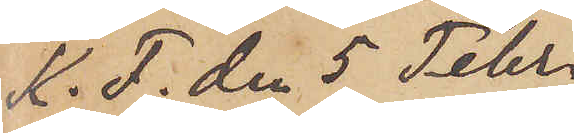K. F. den 5 Febr.
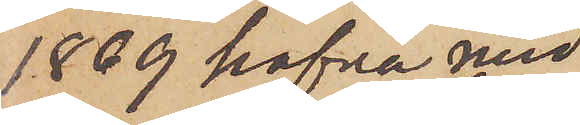1869 hafva med
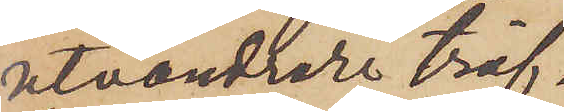utvandrare träf¬
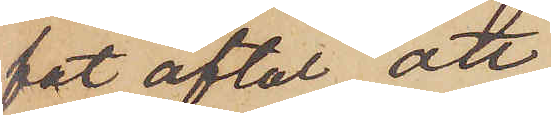fat aftal, att
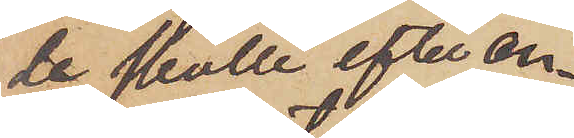de skulle efter an¬
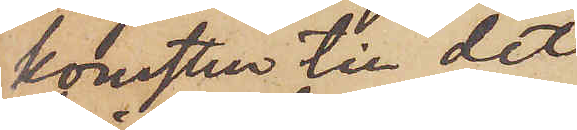komsten till det
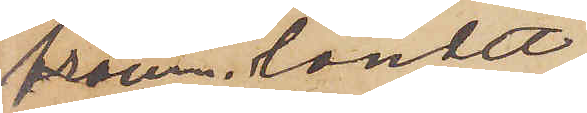främ. landet
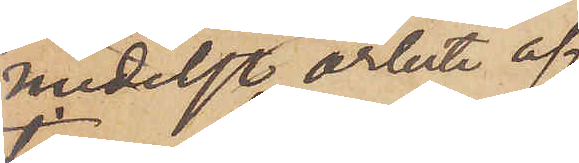medelst arbete af¬
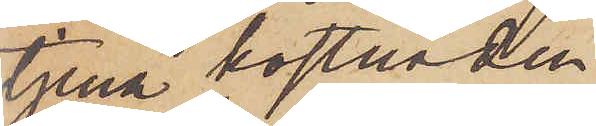tjena kostnaden
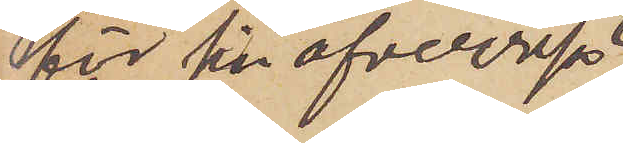för sin öfverresa
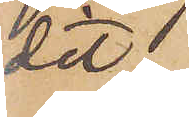dit,
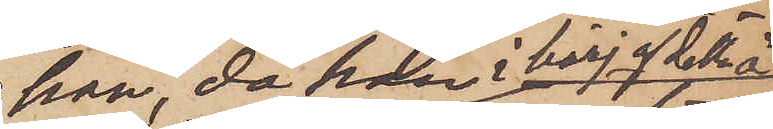han, då han i börj. af detta år
